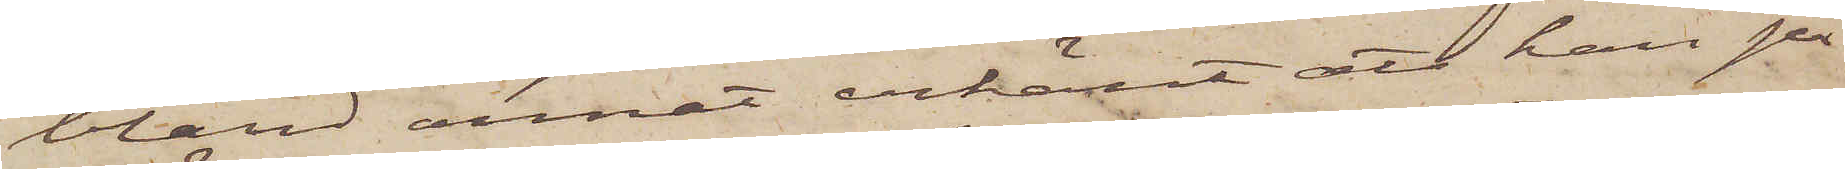bland annat erkänt att han på
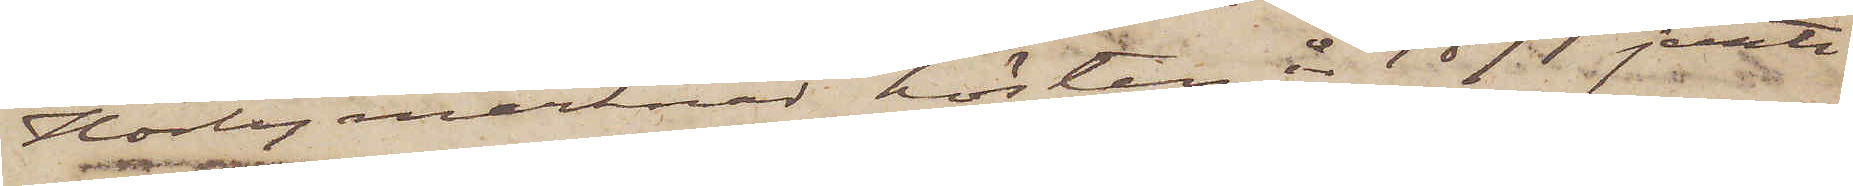Hörby marknad hösten år 1871 jemte
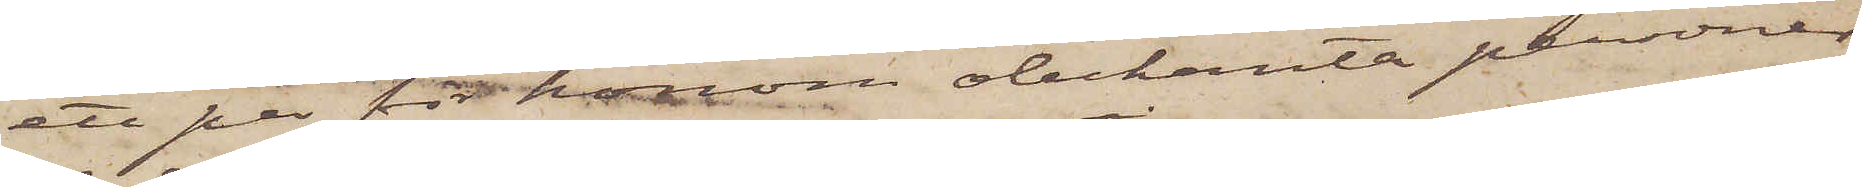ett par för honom obekanta personer
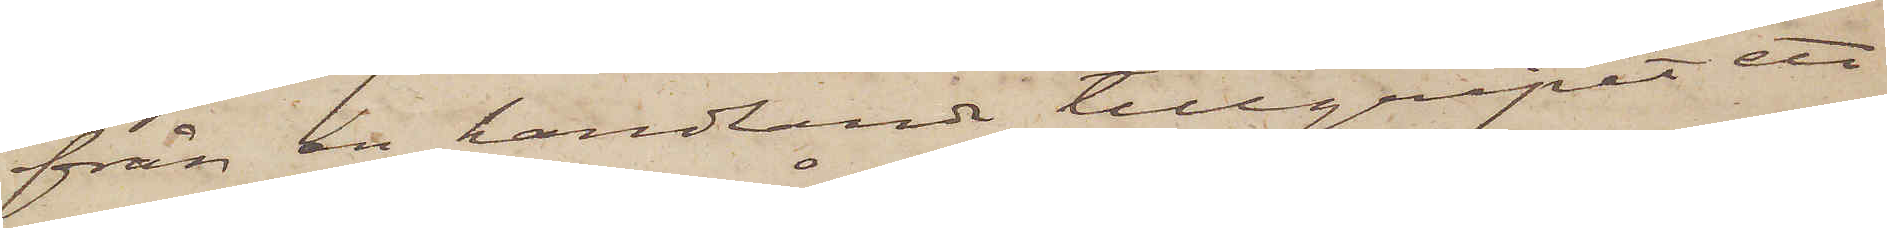från en handlande tillgripit ett
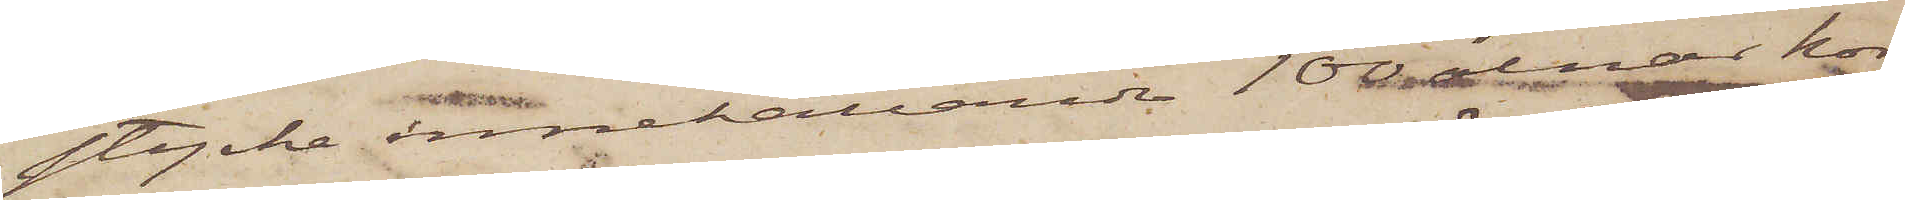stycke innehållande 100 alnar kor¬
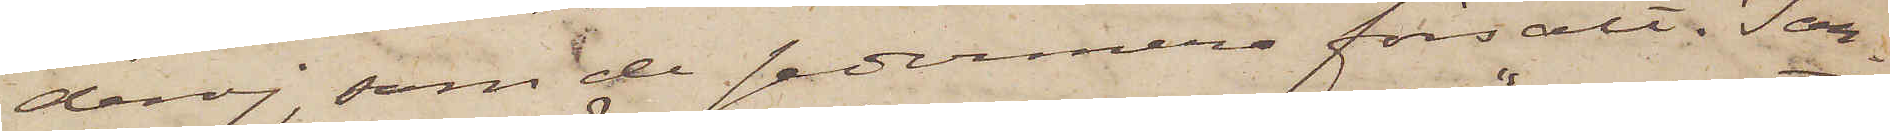deroj, som de sedermera försålt. I an¬
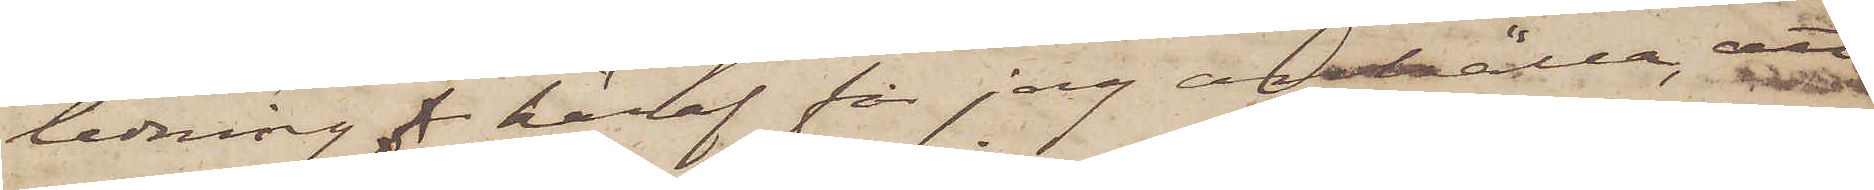ledning häraf får jag anhålla, att
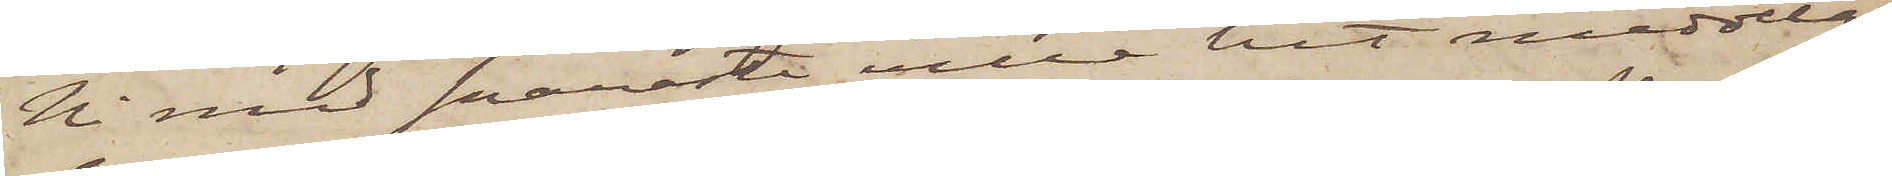Ni med snaraste ville hit meddela
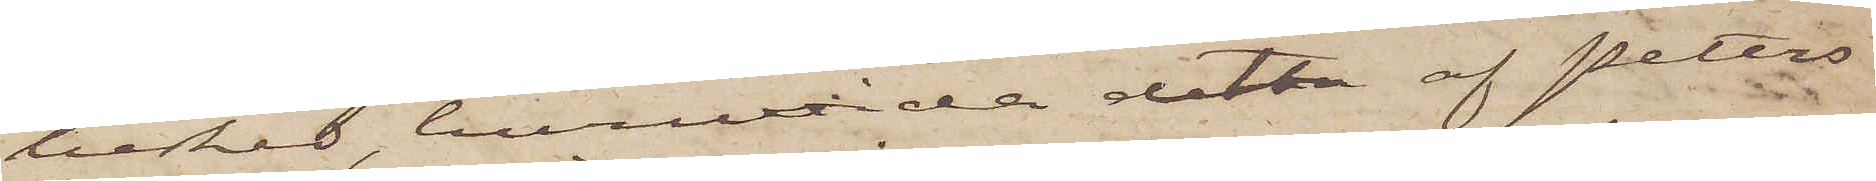besked, huruvida detta af Petters¬
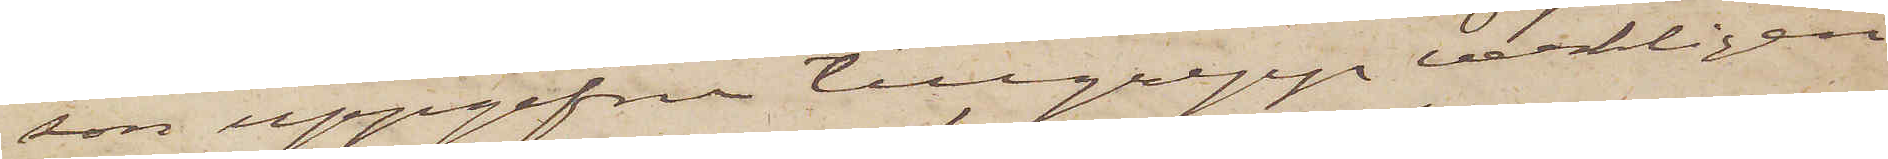son uppgifna tillgrepp verkligen
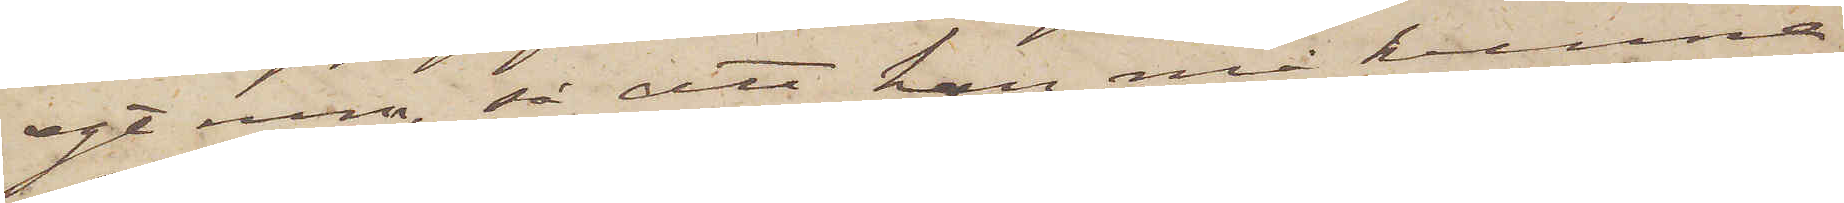egt rum, så att han må kunna
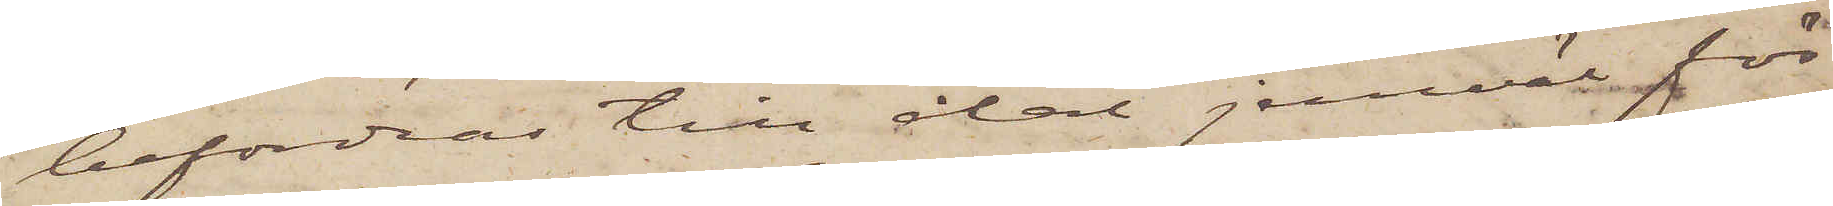befordras till åtal jemväl för
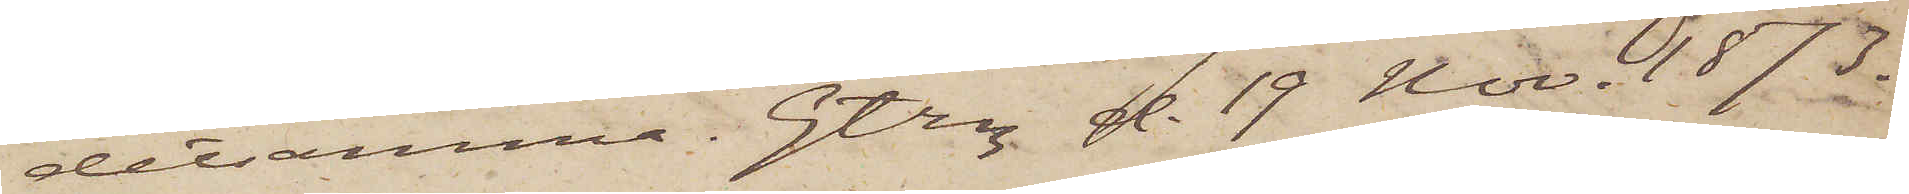detsamma. Gtbg d. 19 Nov. 1873.
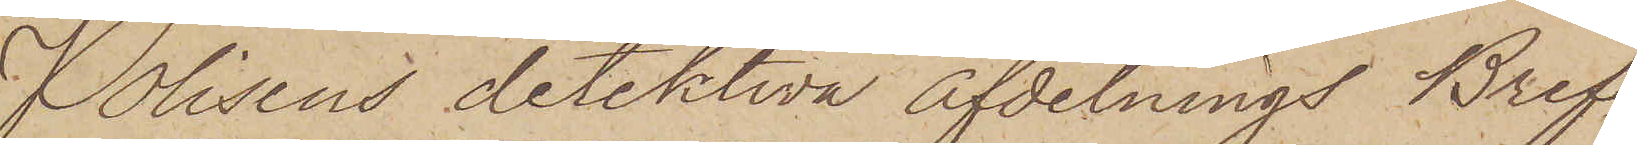Polisens detektiva afdelnings Bref¬
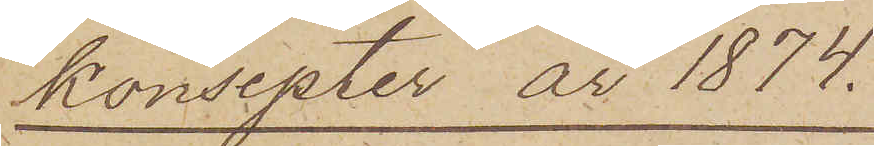konsepter år 1874.
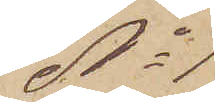No 1
